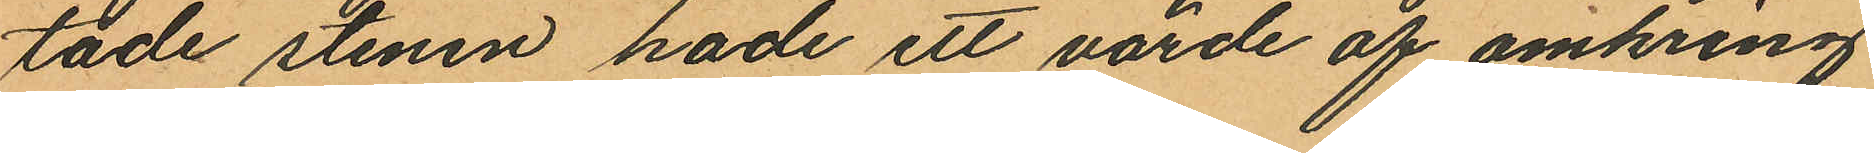tade stenen hade ett värde af omkring
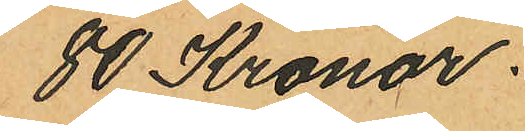80 Kronor.
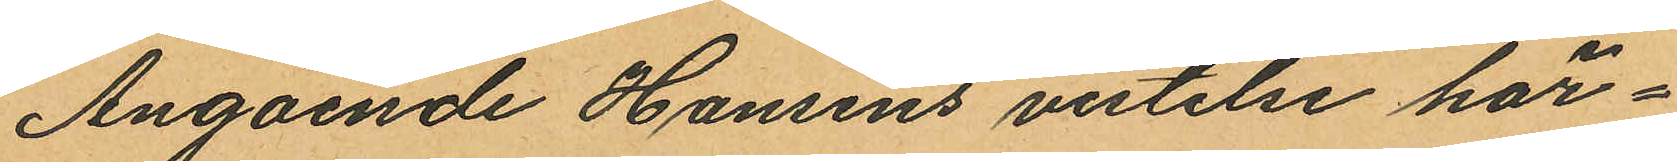Angående Hansens vistelse här¬
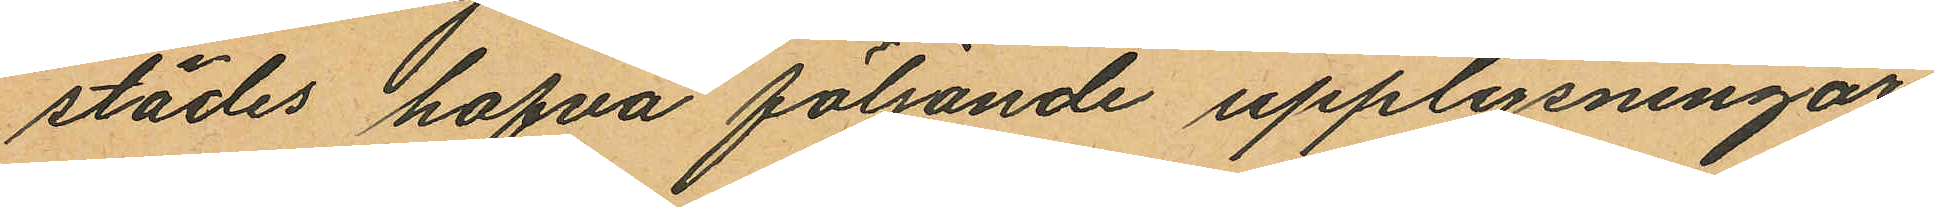städes hafva följande upplysningar
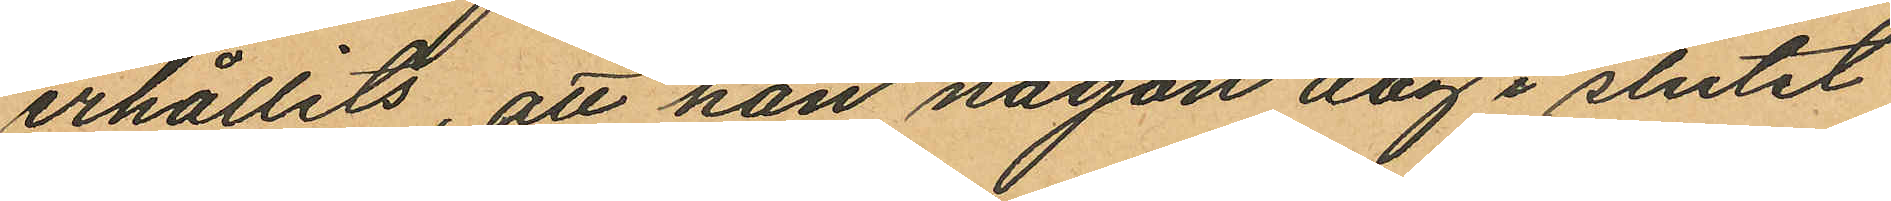erhållits, att han någon dag i slutet
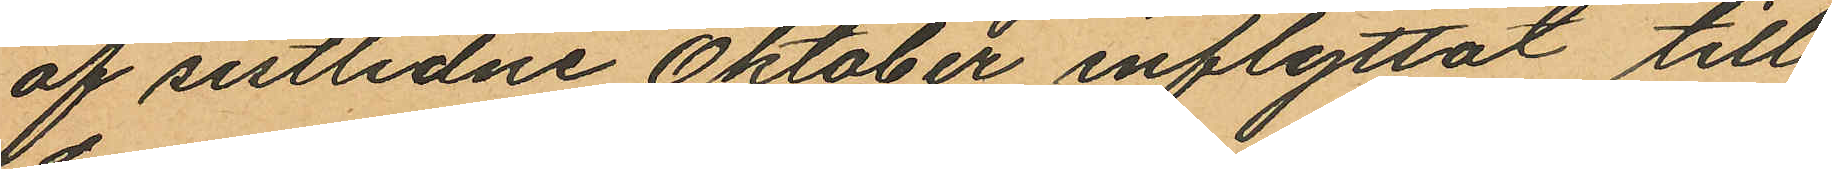af sistlidne Oktober inflyttat till
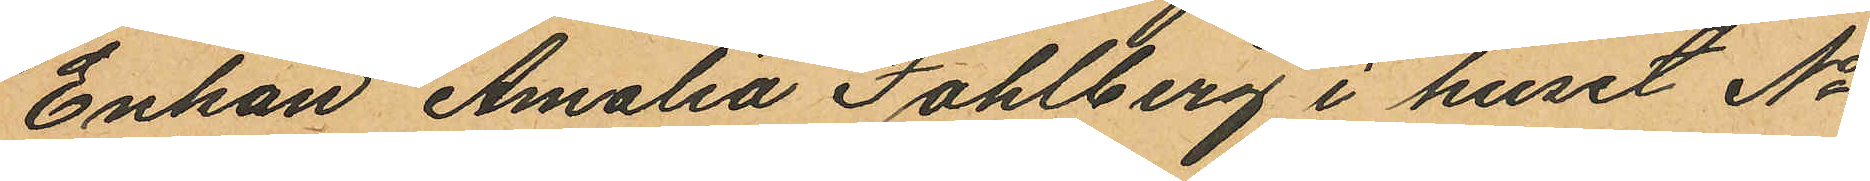Enkan Amalia Fahlberg i huset No
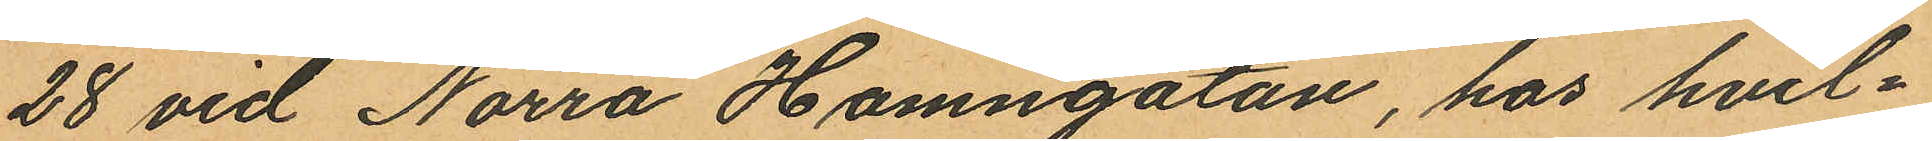28 vid Norra Hamngatan, hos hvil¬
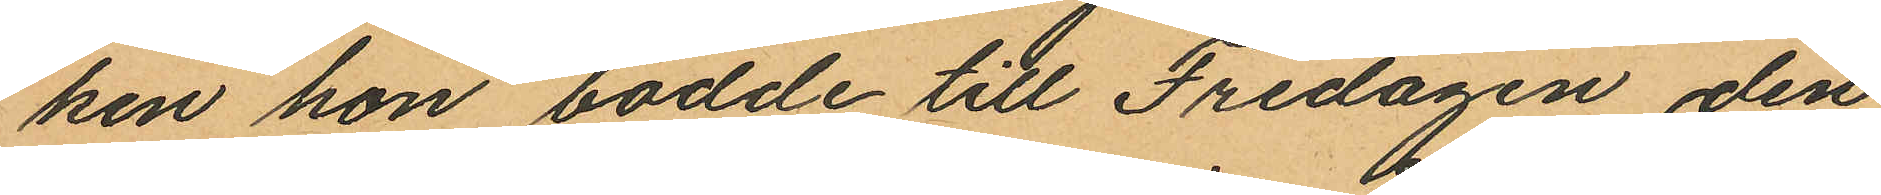ken han bodde till Fredagen den
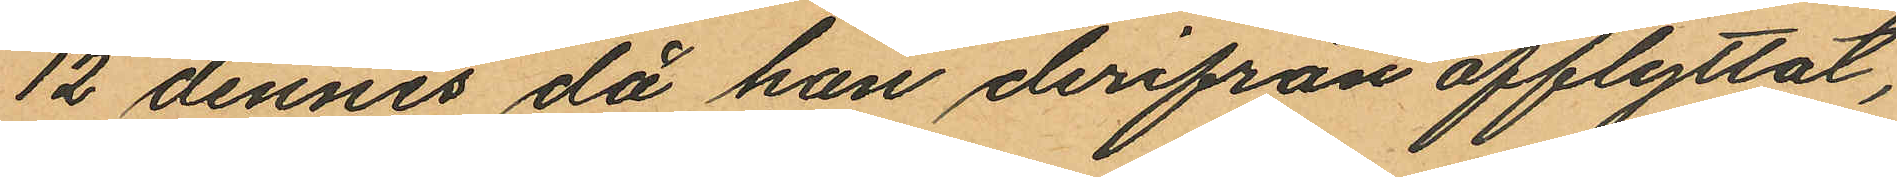12 dennes då han derifrån afflyttat,
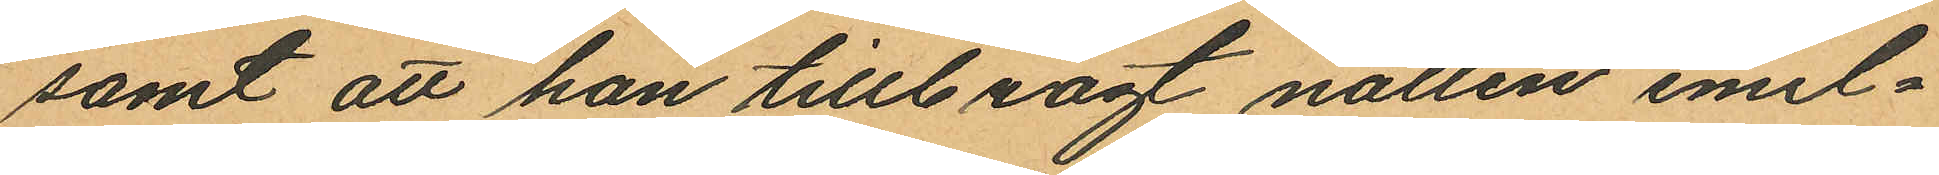samt att han tillbragt nallen emel¬
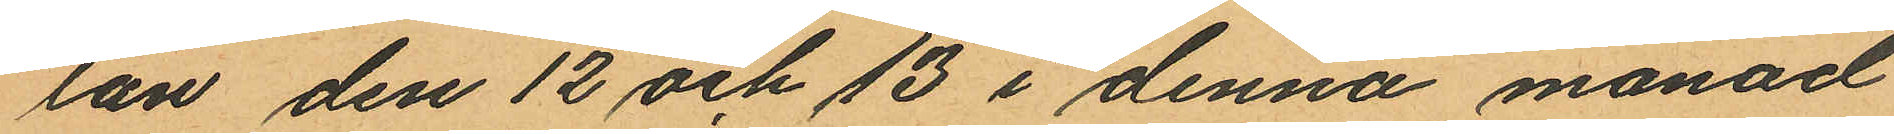lan den 12 och 13 i denna månad
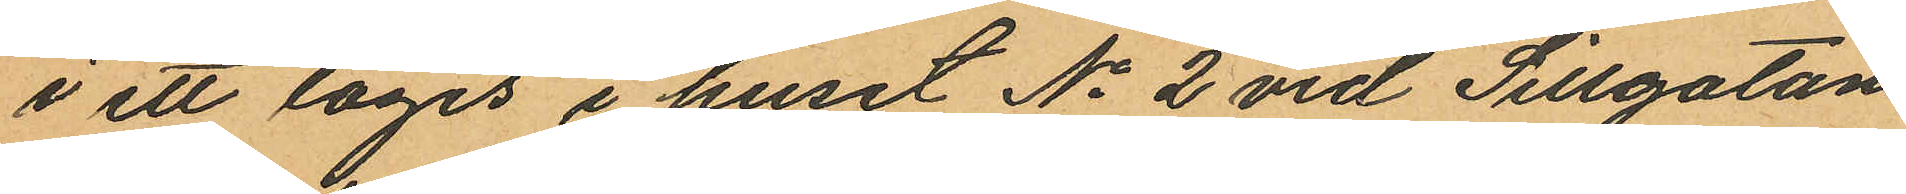i ett logis i huset No 2 vid Sillgatan
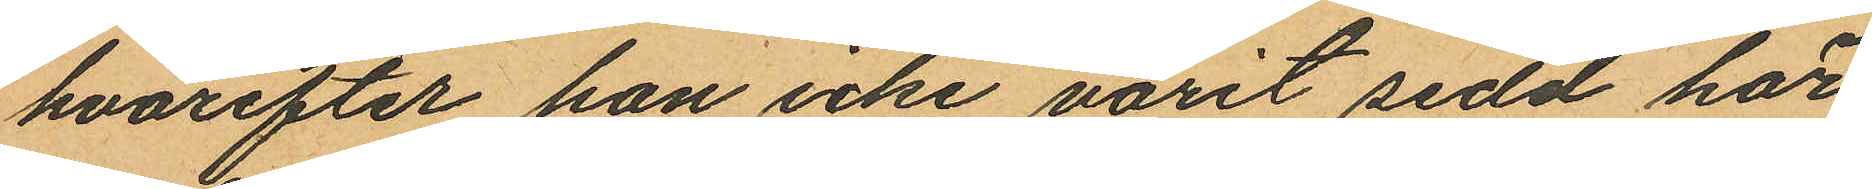hvarefter han icke varit sedd här
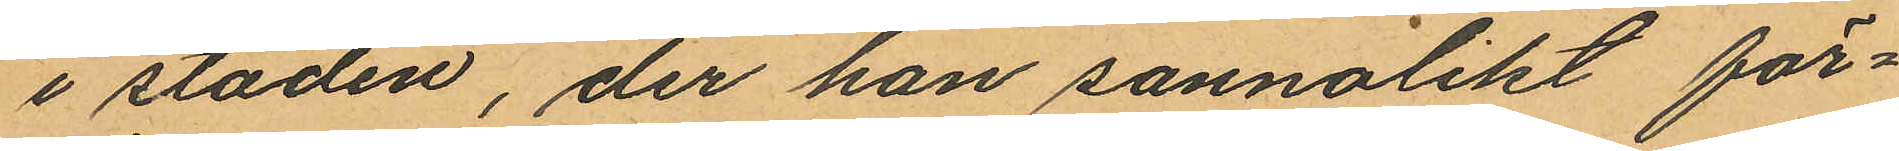i staden, der han sannolikt för¬
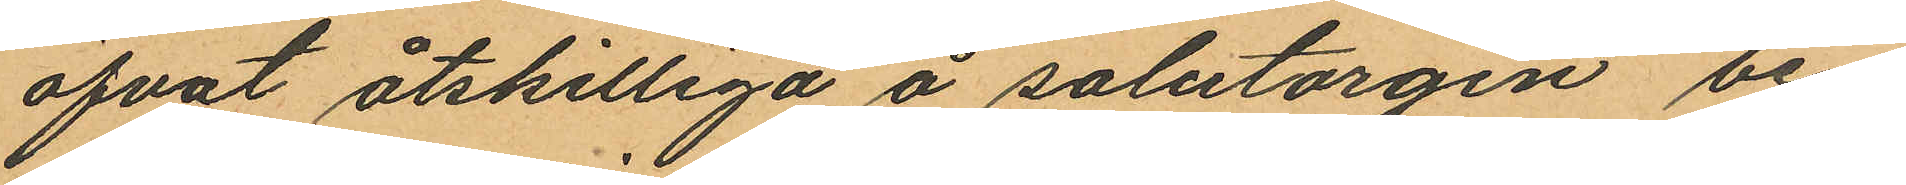öfvat åtskilliga å salutorgen be¬
